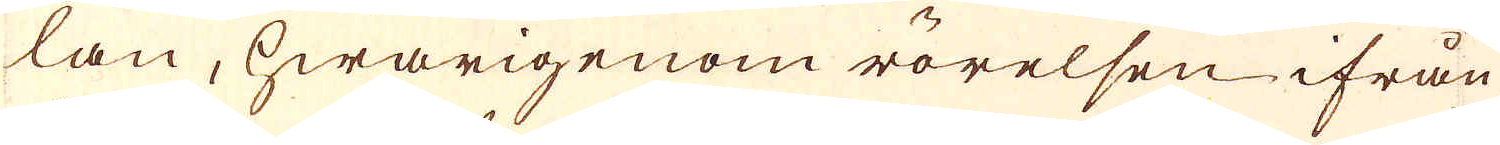lan, hwarigenom rörelsen ifrån
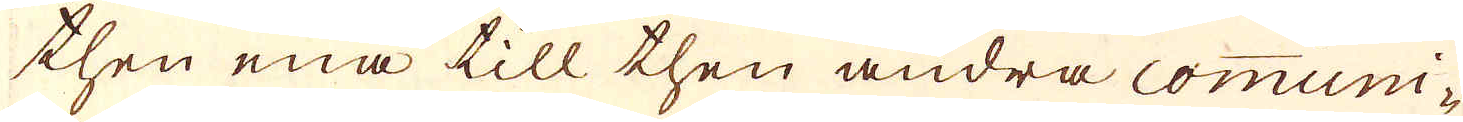then ena till then andra comuni-
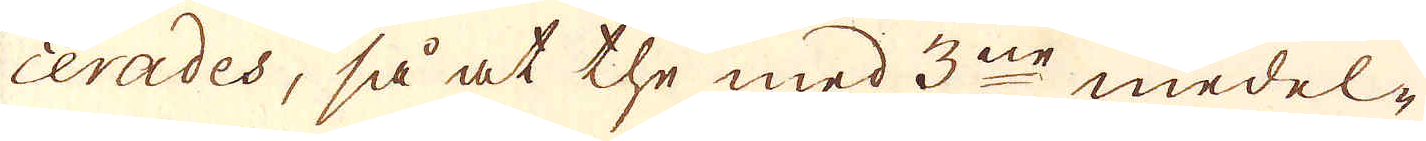cerades, så at the med 3ne medel-
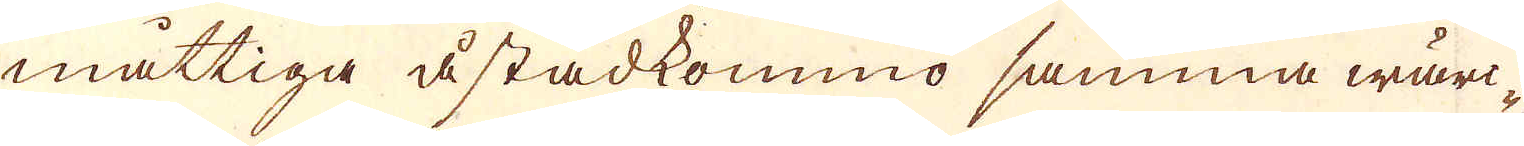måttiga åstadkommo samma wärc-
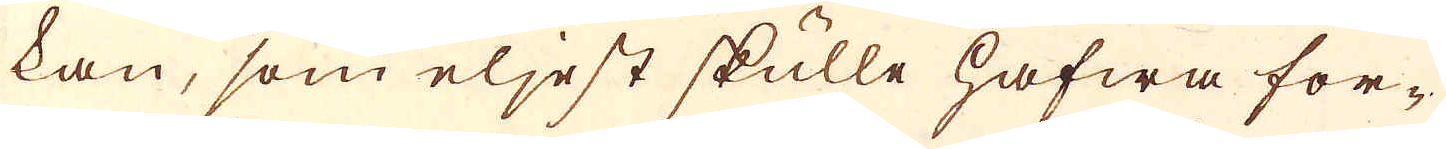kan, som eljest skulle hafwa for-
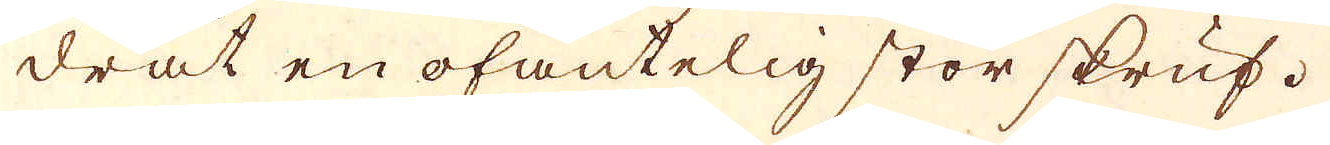drat en ofantelig stor skruf.
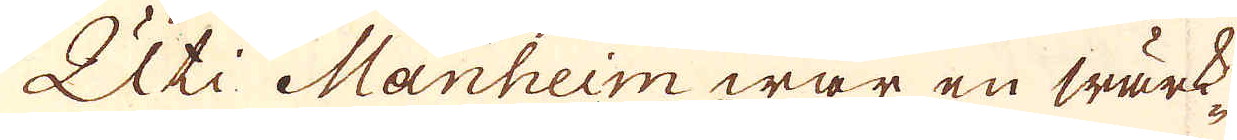Uti Manheim war en wärk-
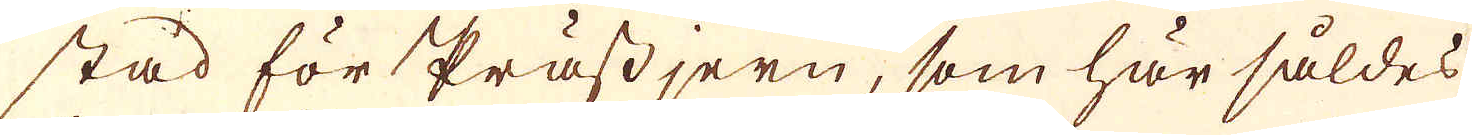stad för Prässjern, som här såldes
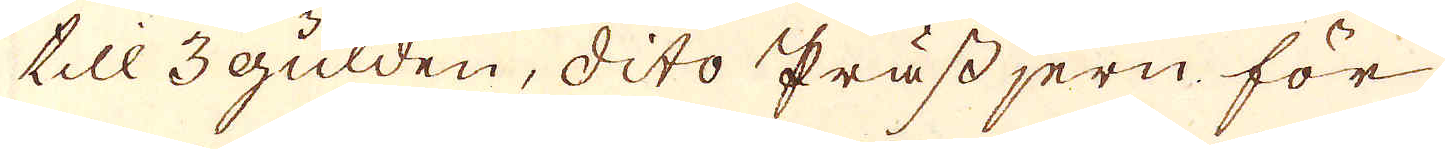till 3 gulden, dito Prässjern för
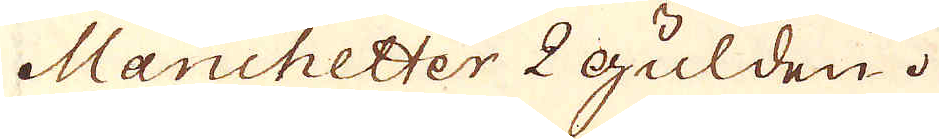Manchetter 2 Gulden.
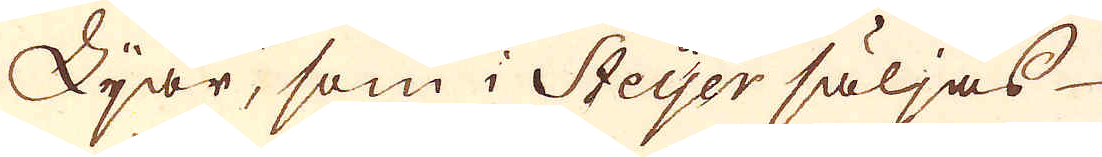Lijar, som i Steyer säljas
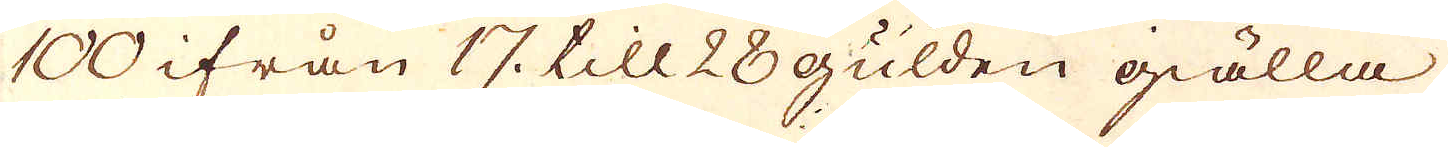100 ifrån 17 till 28 gulden giälla
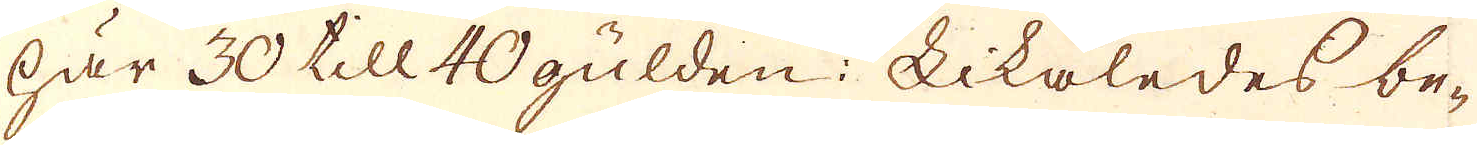här 30 till 40 gulden: Likaledes be-
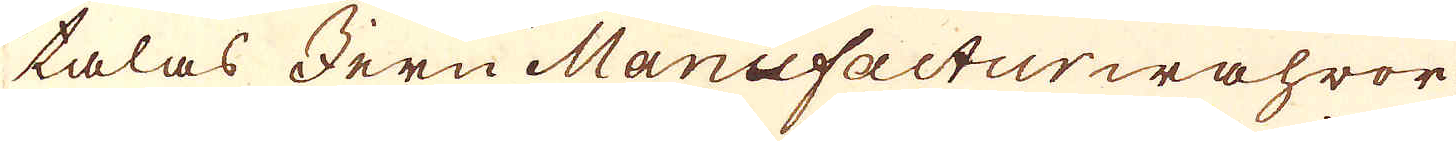talas Jern Manufacturwahror
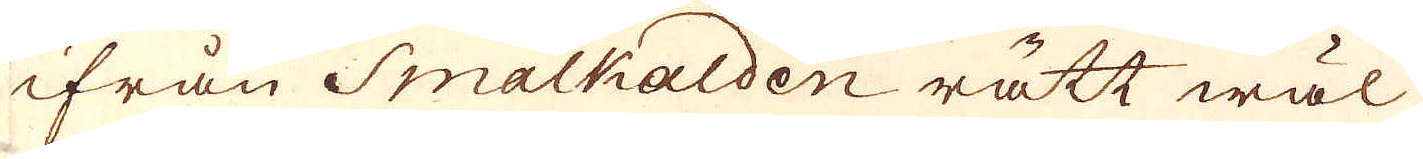ifrån Smalkalden rätt wäl
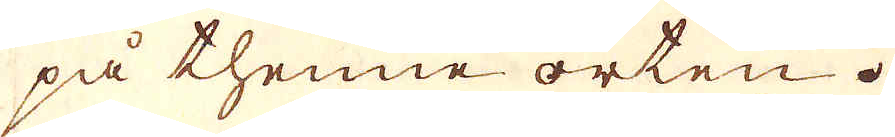på thenne orten.
